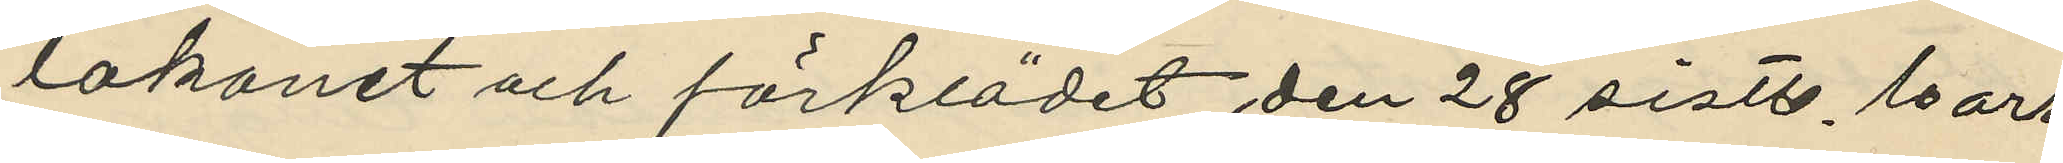lakanet och förklädet den 28 sistl. Mars
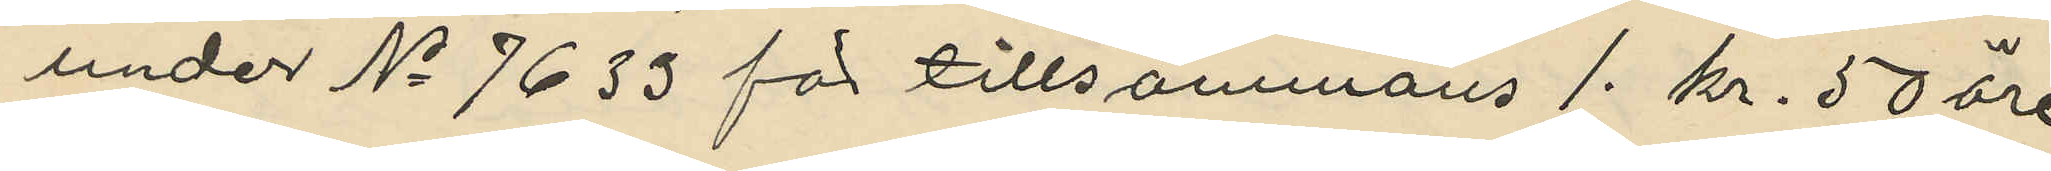under No 7633 för tillsammans 1. kr. 50 öre
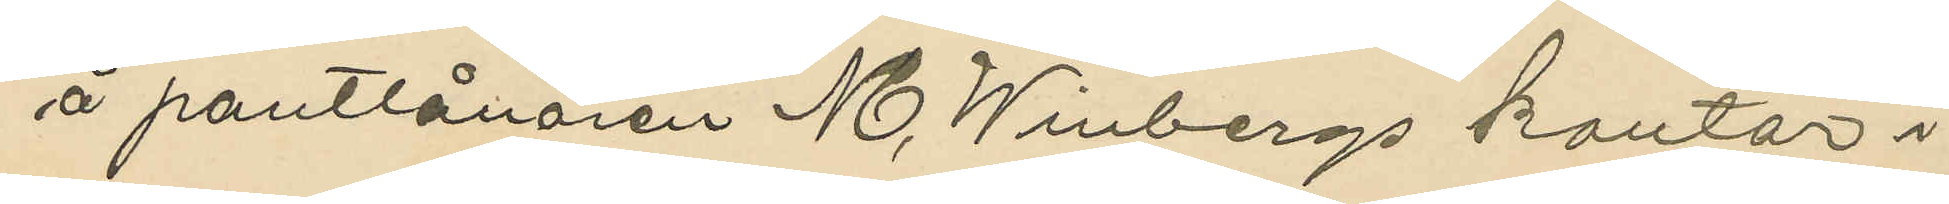å pantlånaren M. Winbergs kontor i
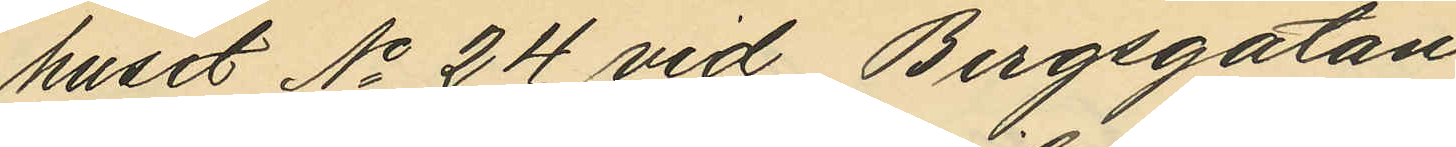huset No 24 vid Bergsgatan
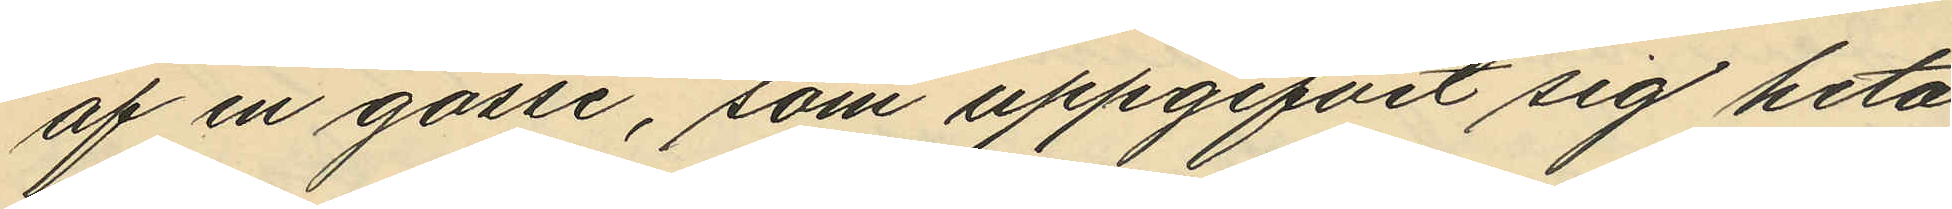af en gosse, som uppgifvit sig heta
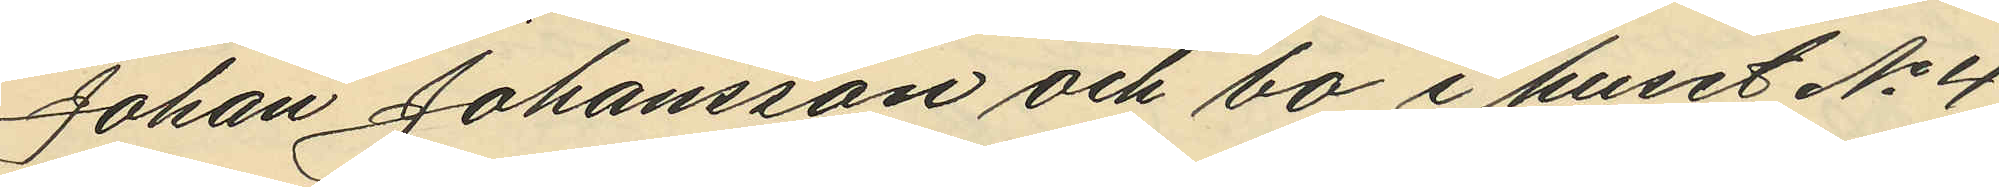Johan Johansson och bo i huset No 4
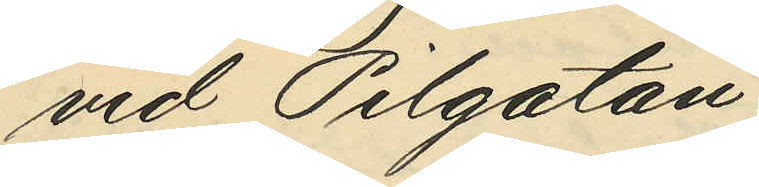vid Pilgatan;
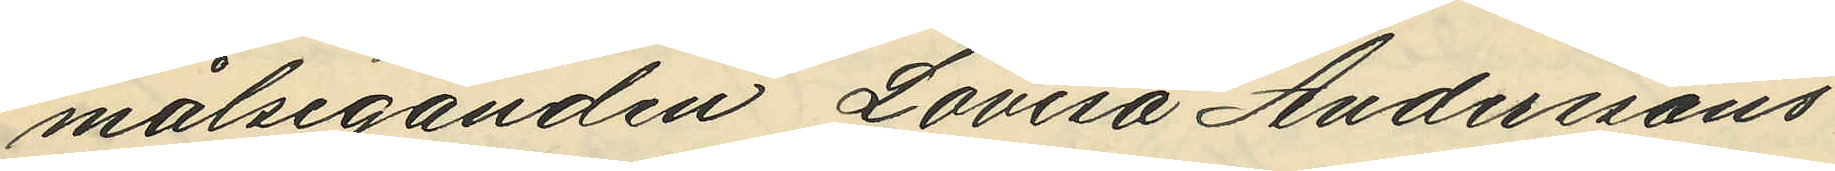målseganden Lovisa Anderssons
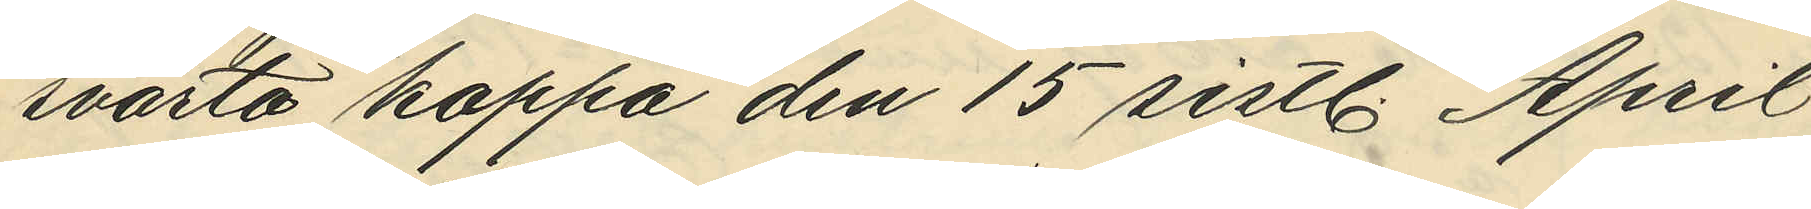svarta kappa den 15 sistl. April
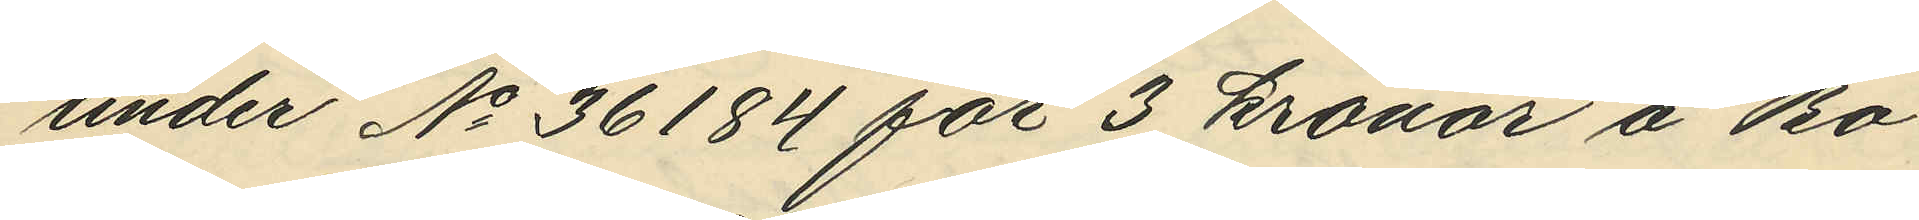under No 36184 för 3 kronor å Bo¬
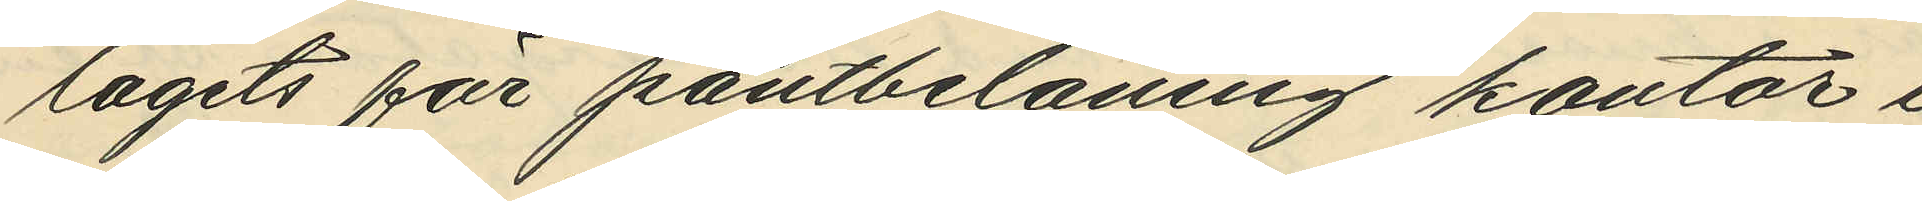lagets för pantbelåning kontor i
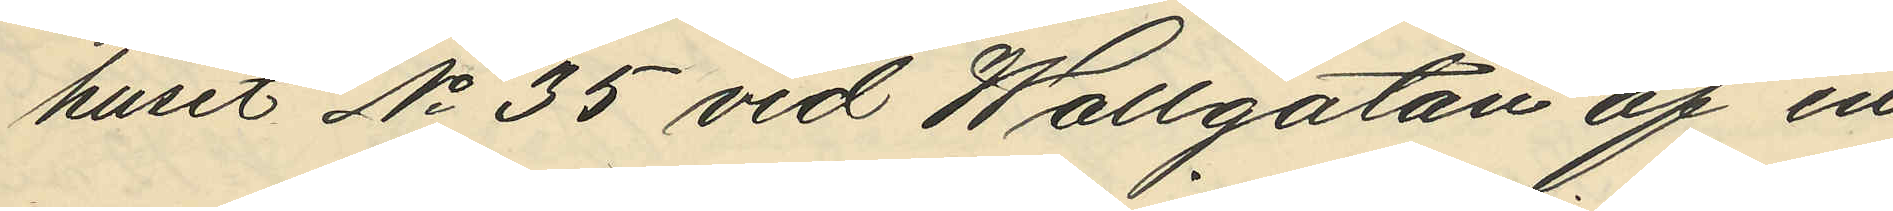huset No 35 vid Wallgatan af en
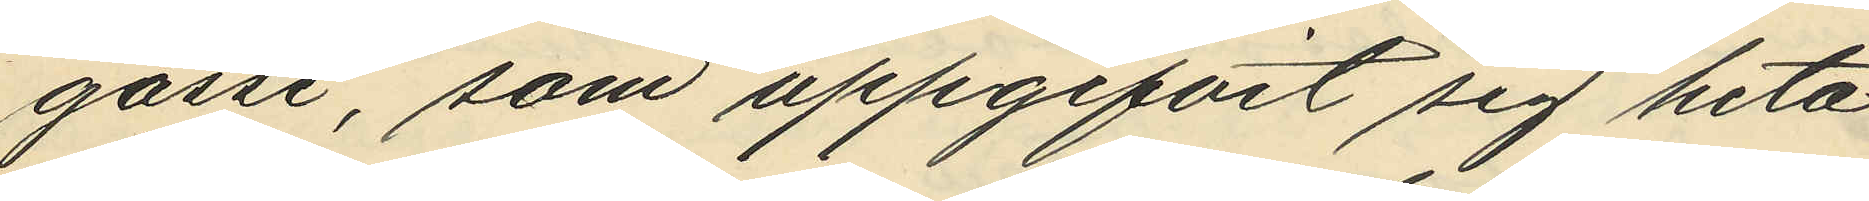gosse, som uppgifvit sig heta
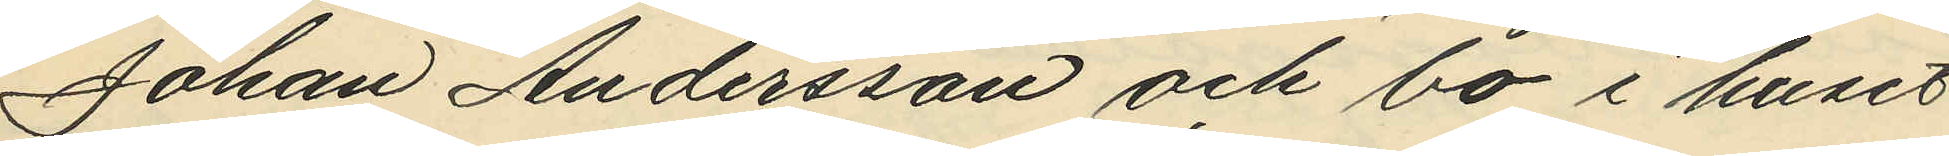Johan Andersson och bo i huset
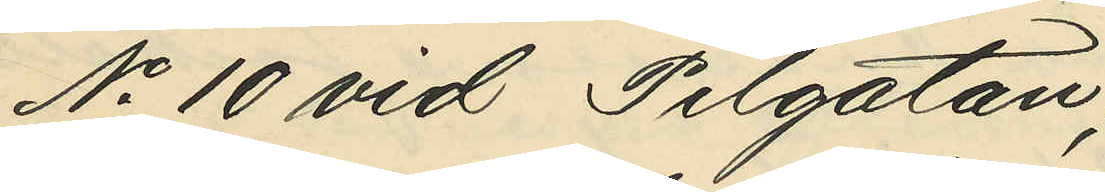No 10 vid Pilgatan;
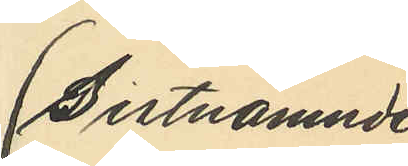Sistnämnde
